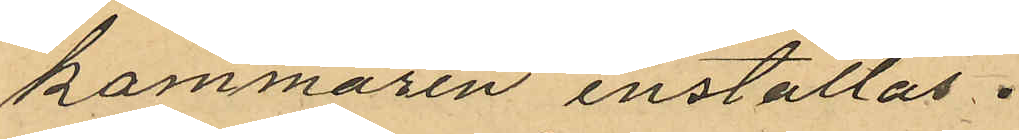kammaren inställas.
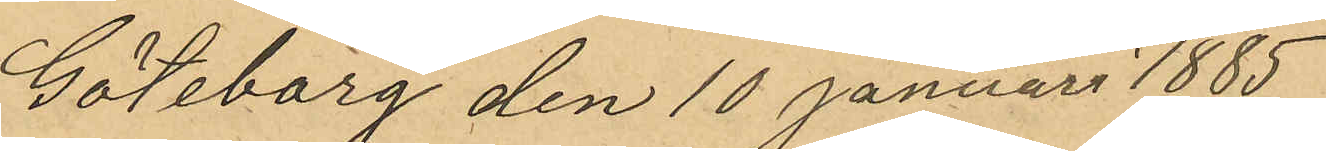Göteborg den 10 Januari 1885
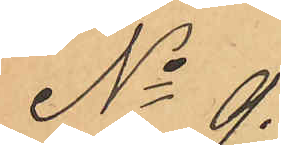No 9.
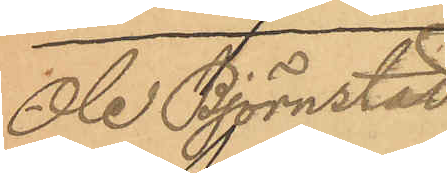Ole Björnstad
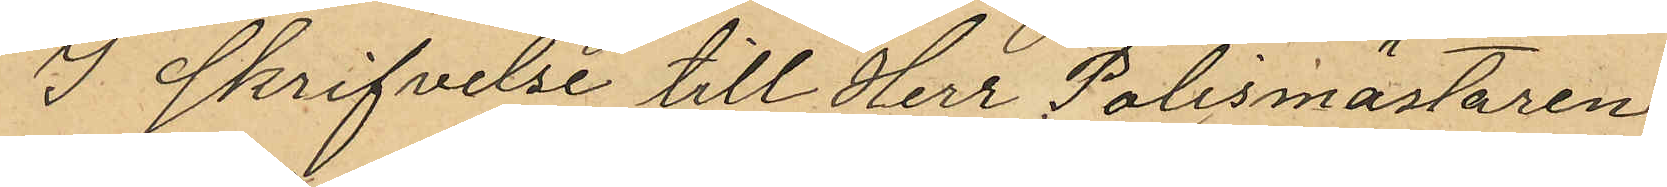I skrifvelse till Herr Polismästaren
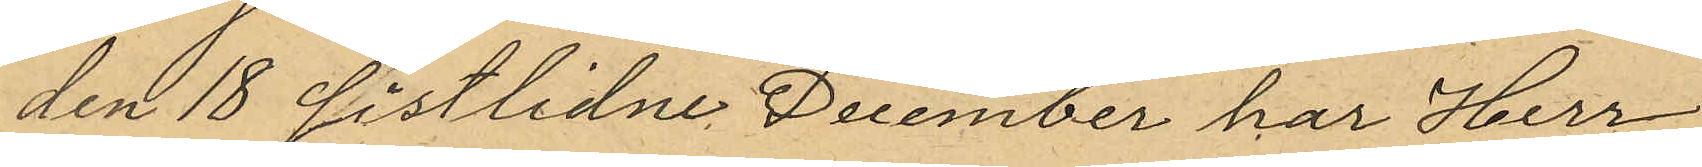den 18 sistlidne December har Herr
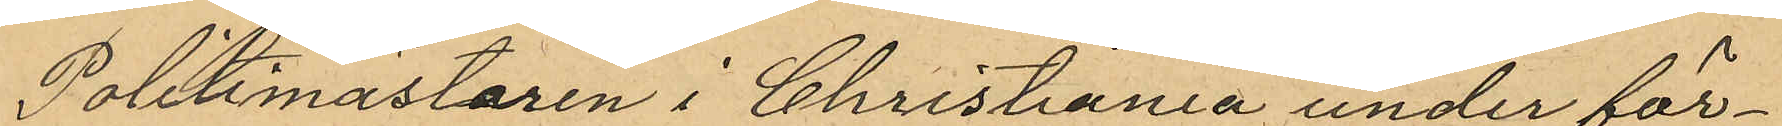Politimästaren i Christiania under för¬
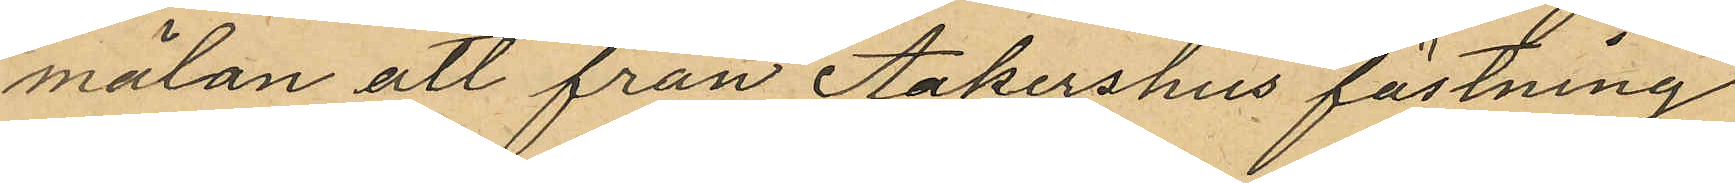mälan att från Aakershus fästning
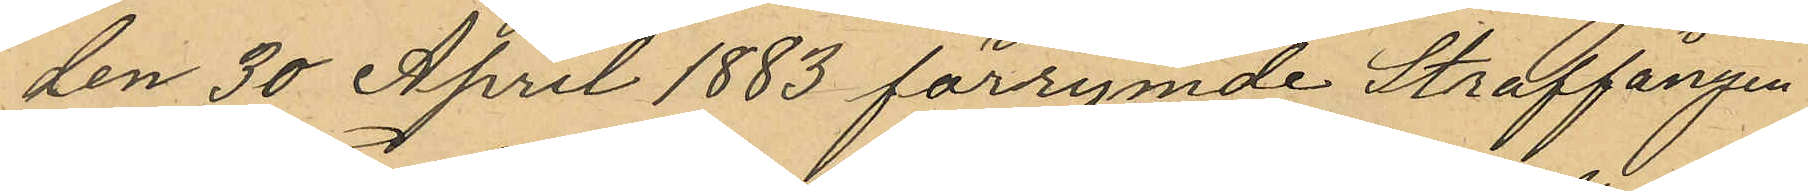den 30 April 1883 förrymde Straffången
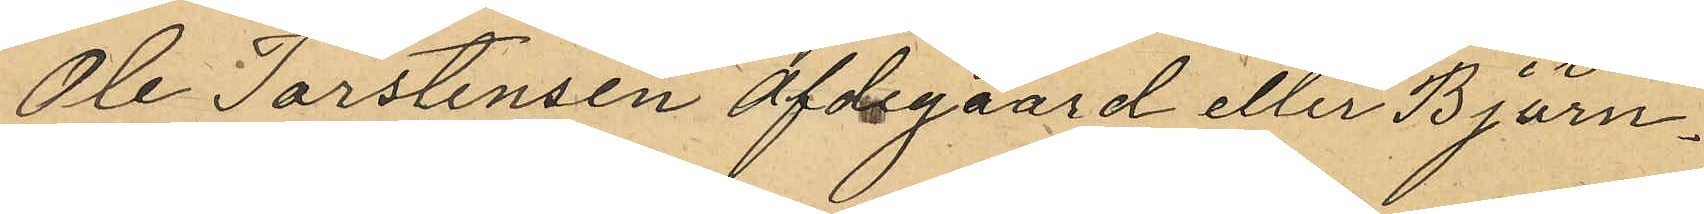Ole Torstensen afdegaard eller Björn¬
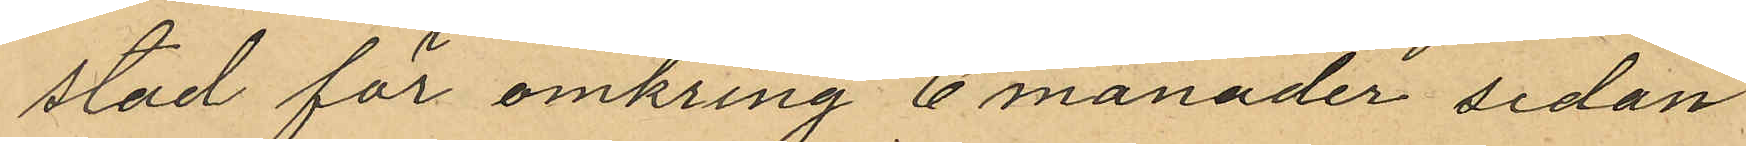stad för omkring 6 månader sedan
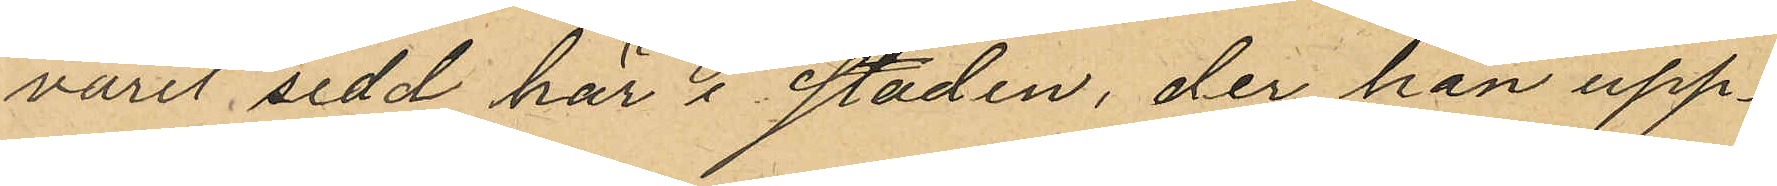varit sedd här i staden, der han upp¬
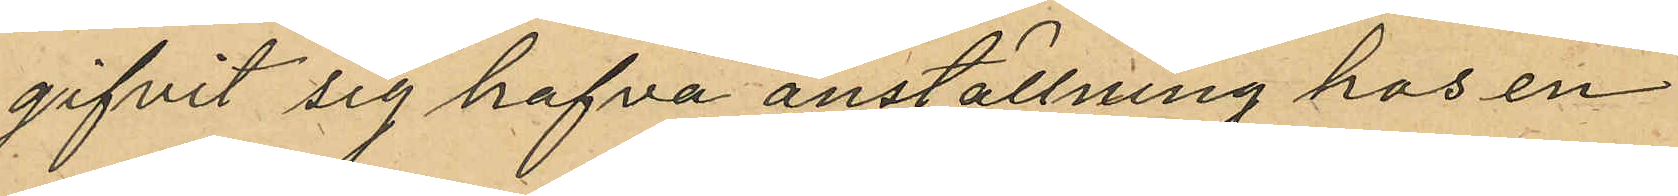gifvit sig hafva anställning hos en
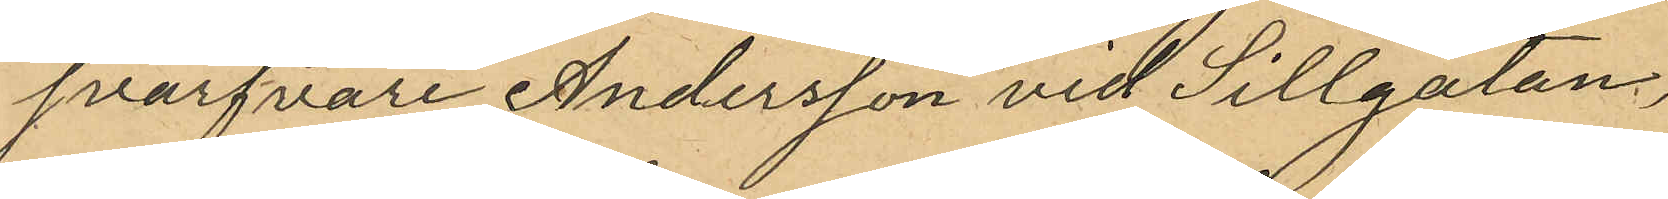svarfvare Andersson vid Sillgatan,
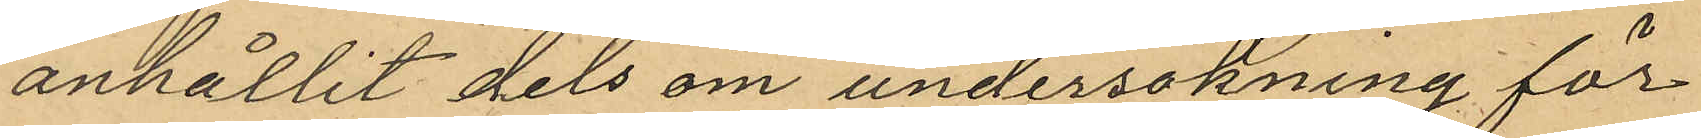anhållit dels om undersökning för
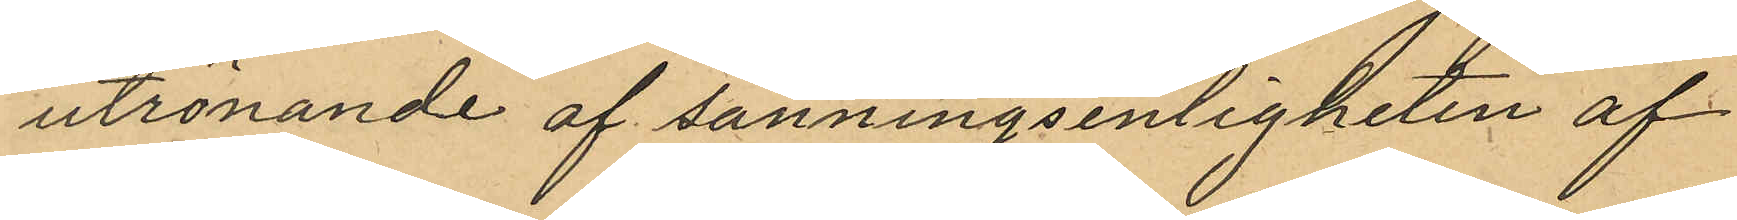utrönande af sanningsenligheten af
